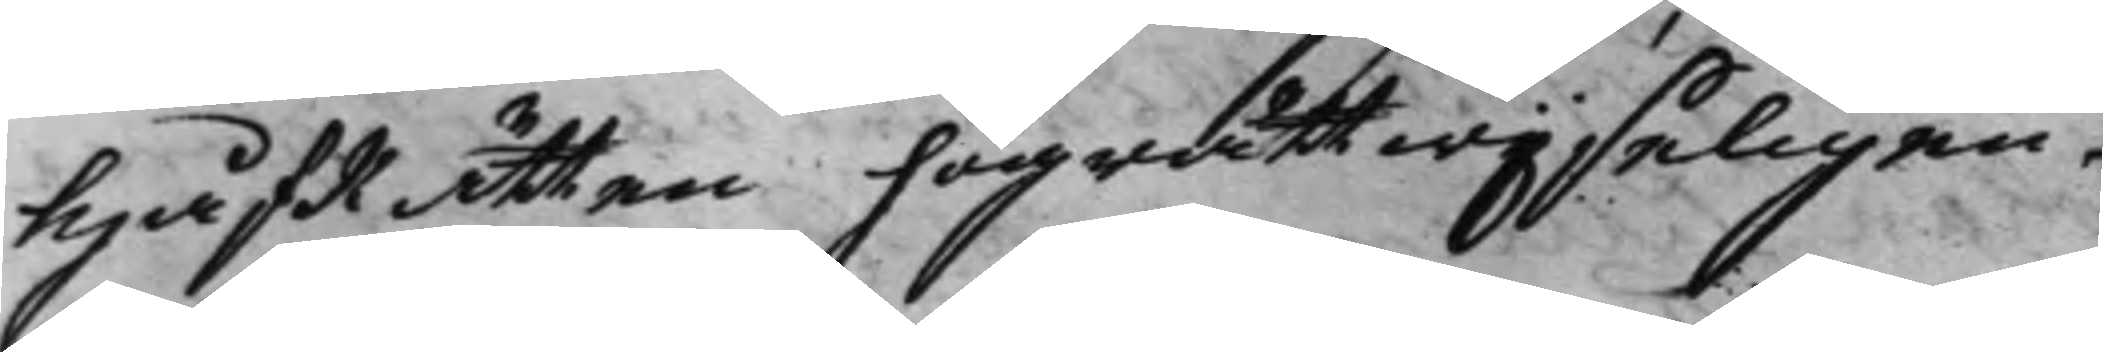HåfRätten högrättwijseligen
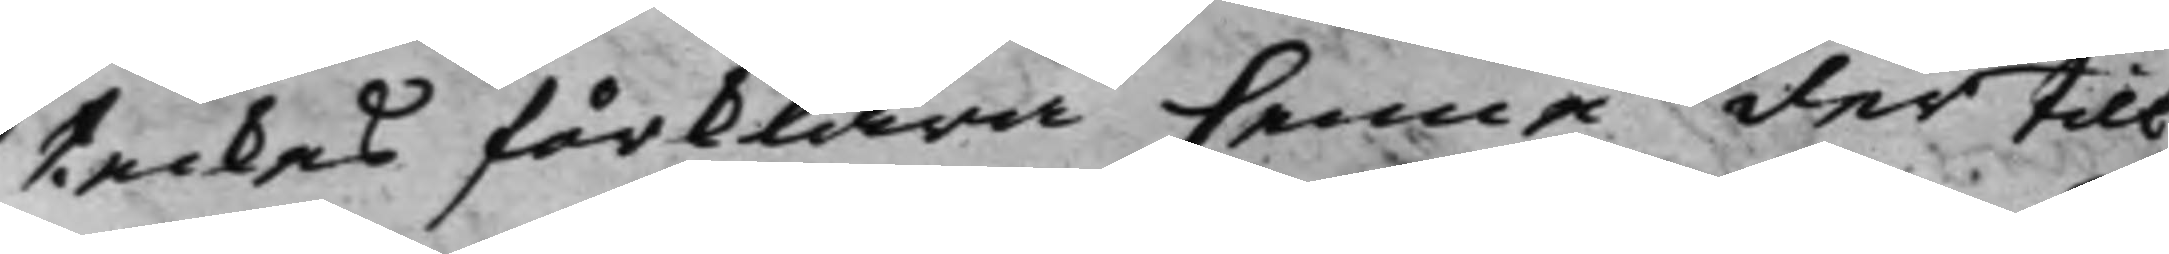teckes förklara henne der till
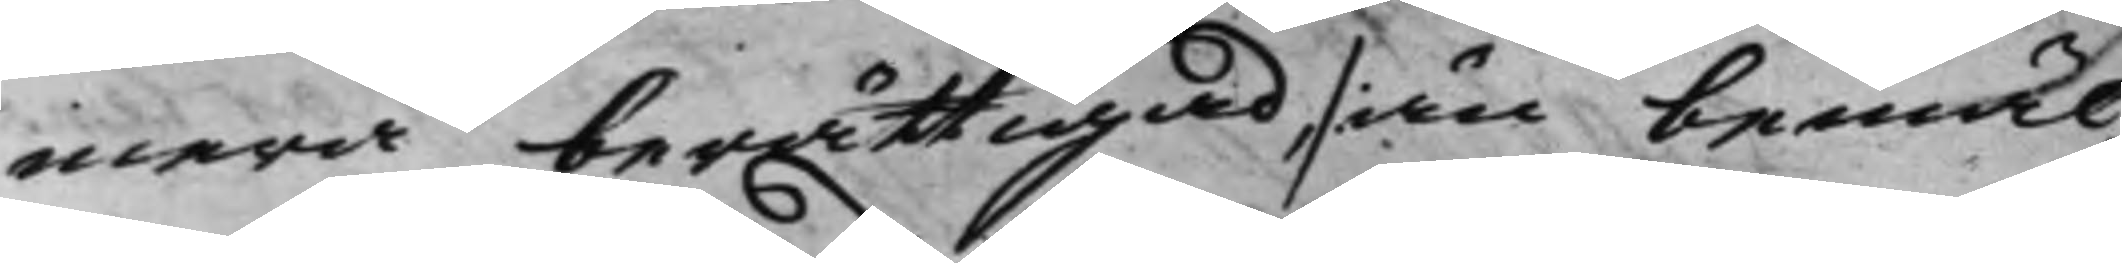mera berättigad, /: än bemäl¬
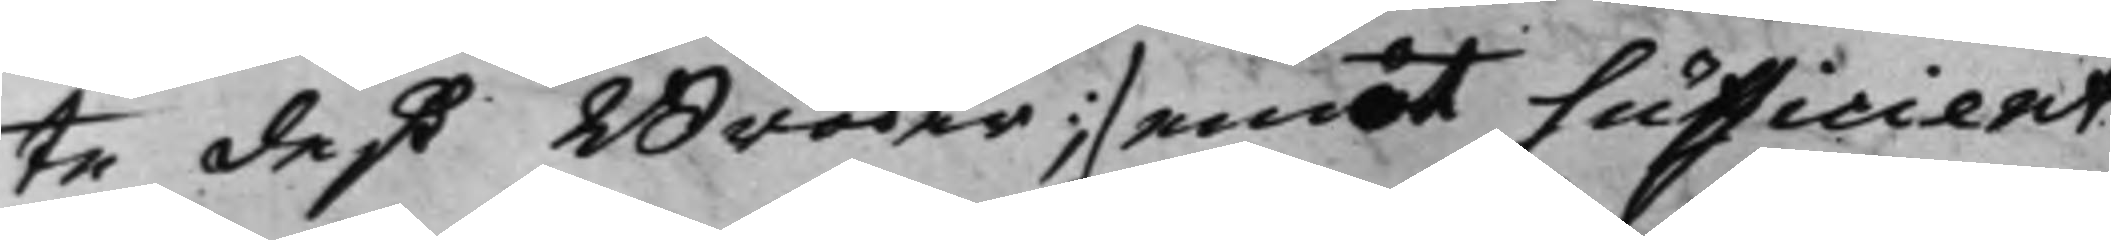te deß Broder :/ emot sufficient
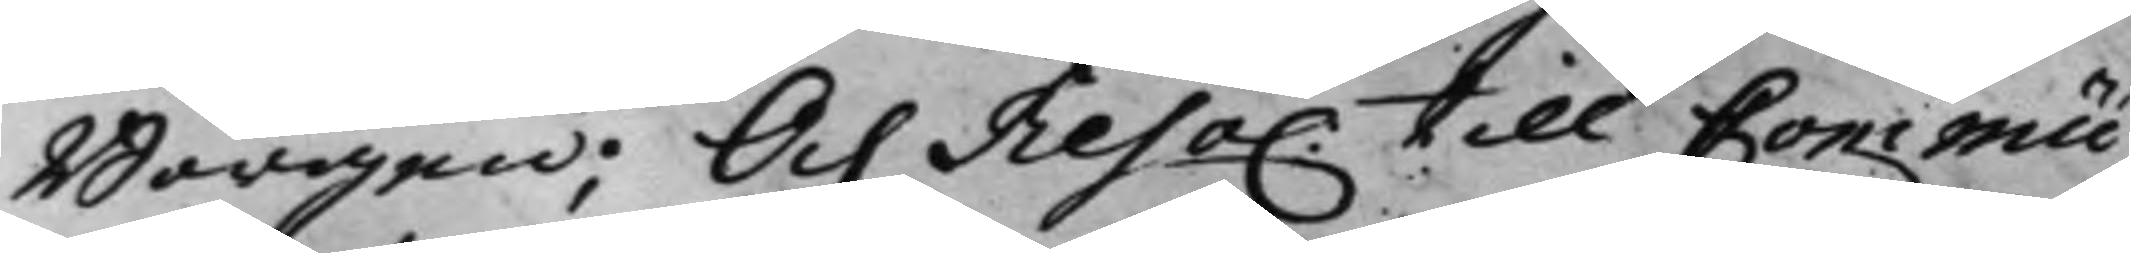Borgen; Och Reso. till Commu¬
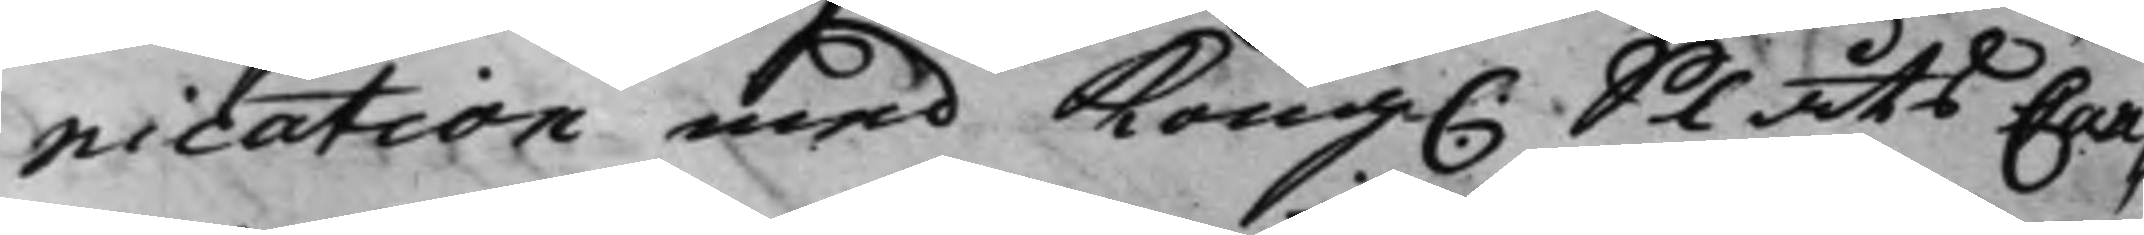nication med Kong. Slåts Can¬
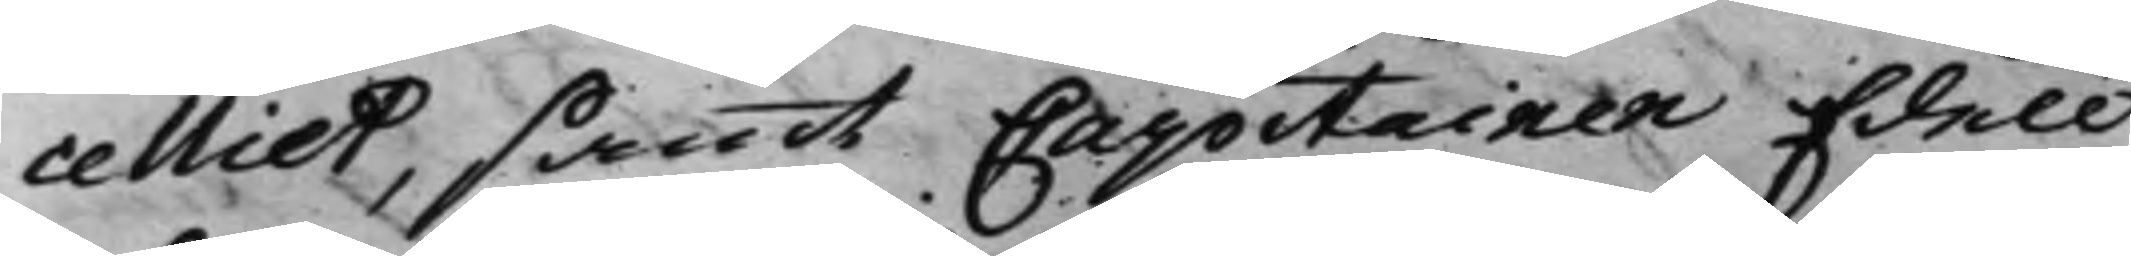celliet, samt Capitainen Edell
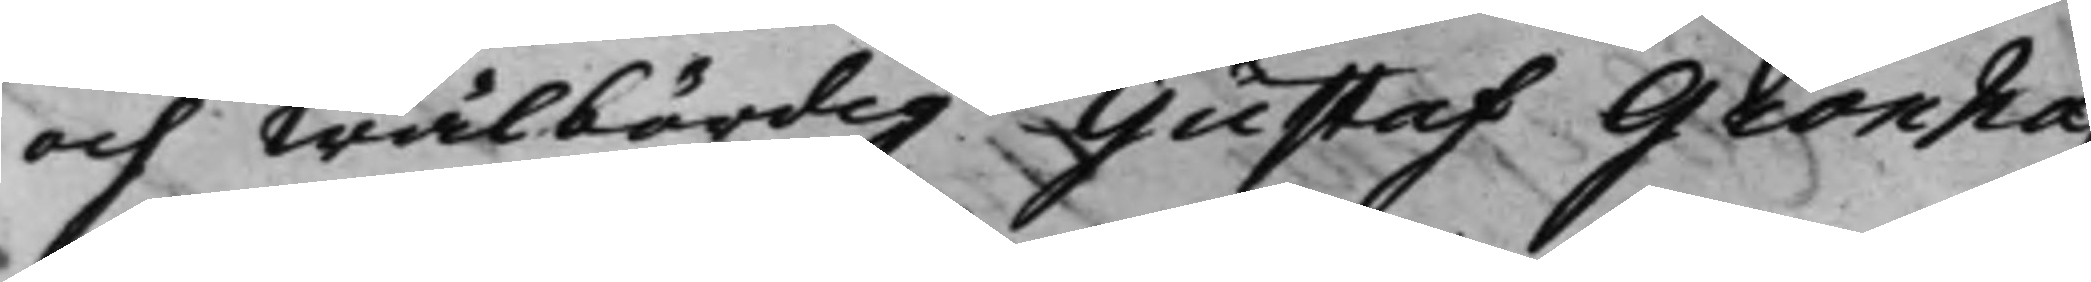och Wälbördig Gustaf Grönha¬
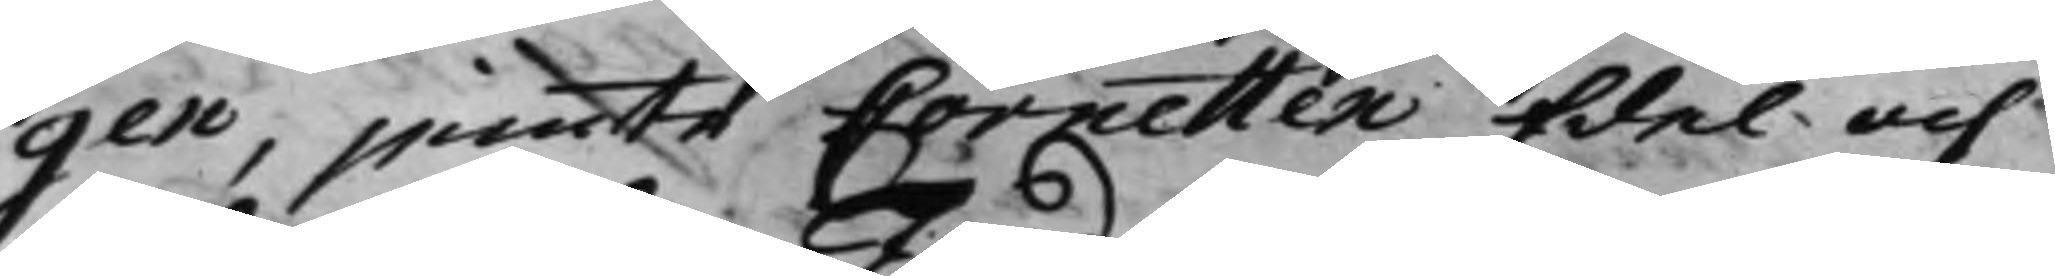gen, jemte Cornetten Edel och
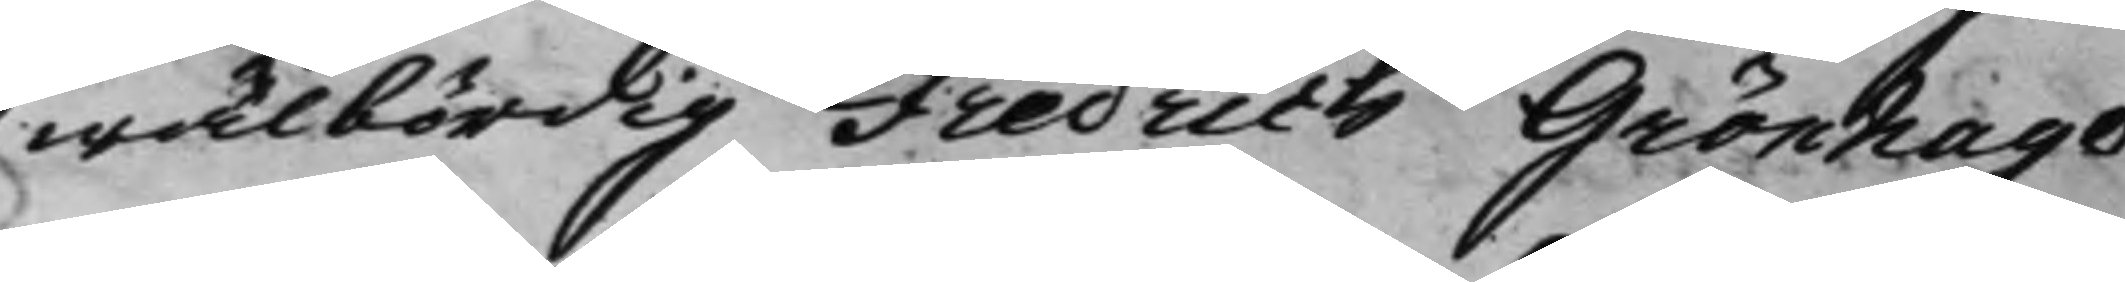wälbördig Fredrich Grönhagen
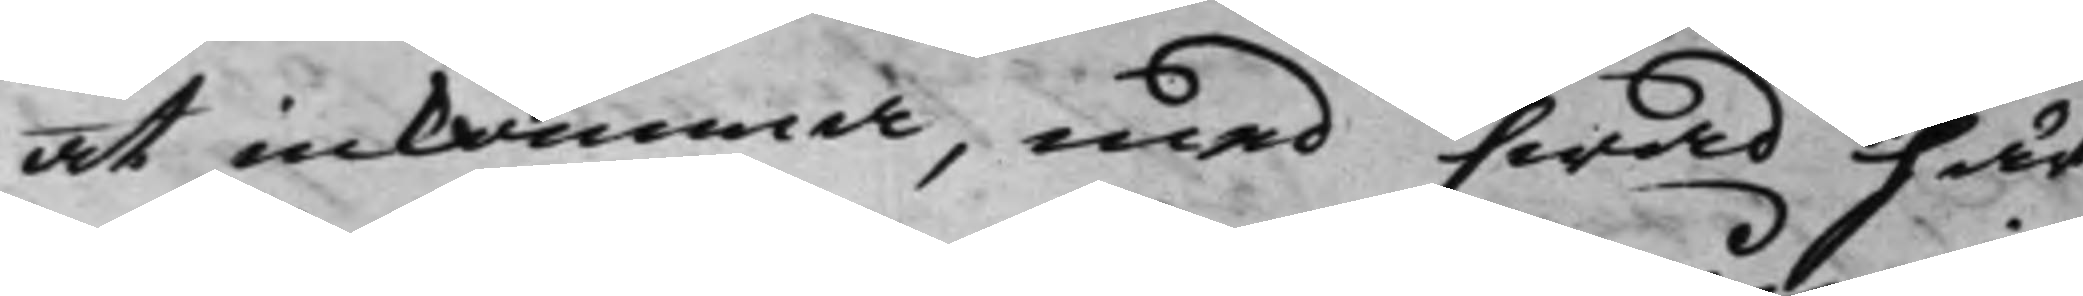at inkomma, med hwad här
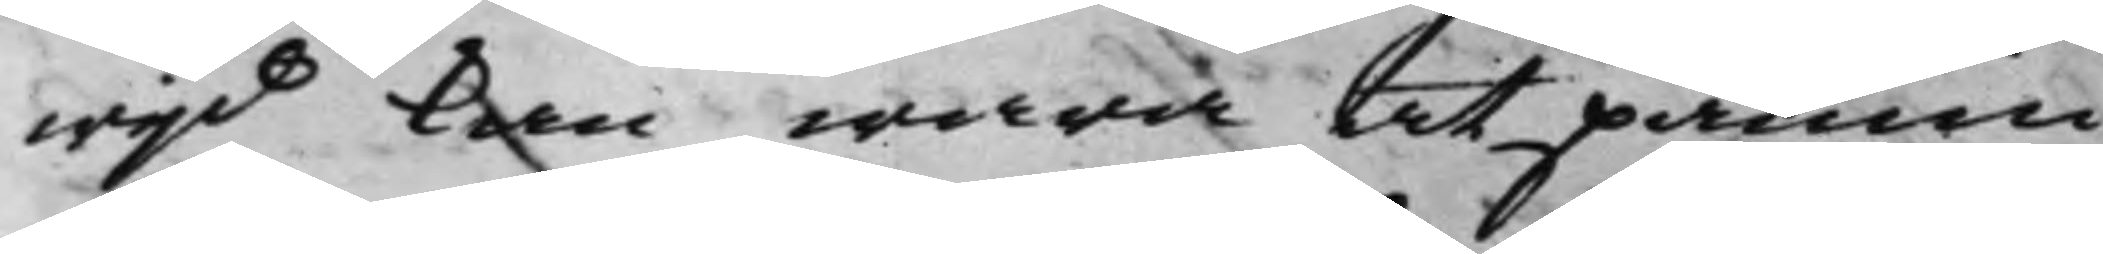wijd kan wara at påmin¬
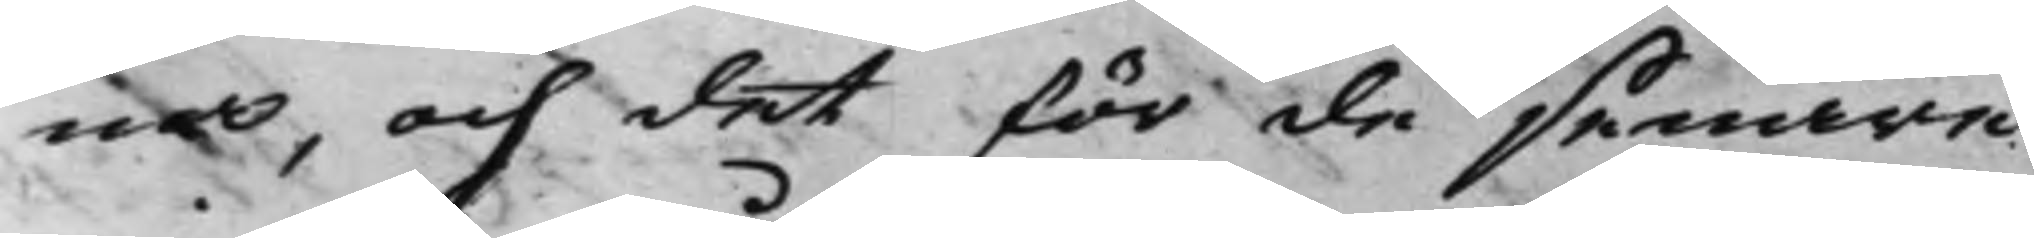nas, och det för de senare
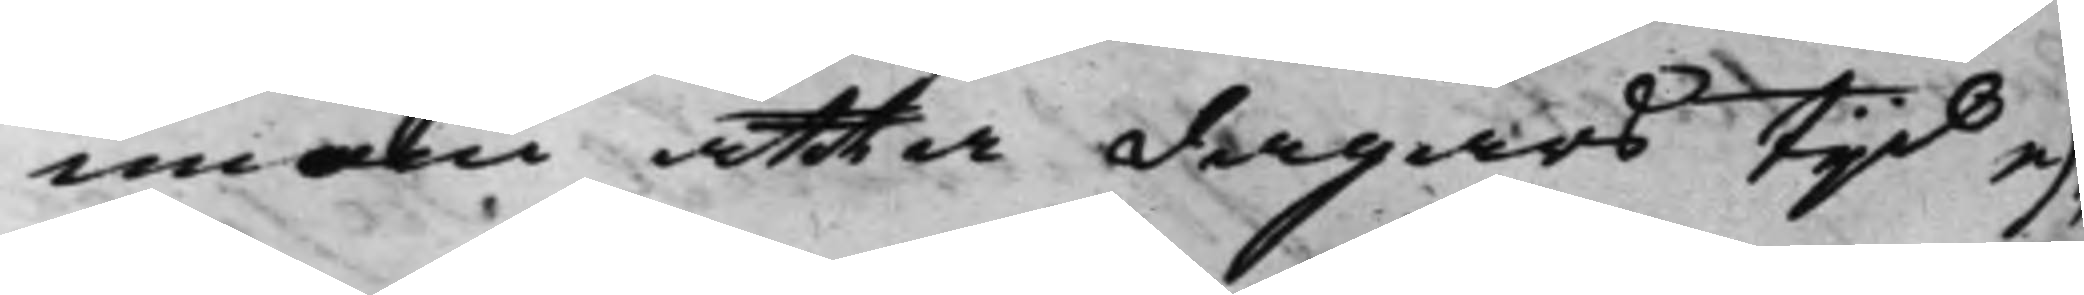innom åtta dagars Tijd ef¬
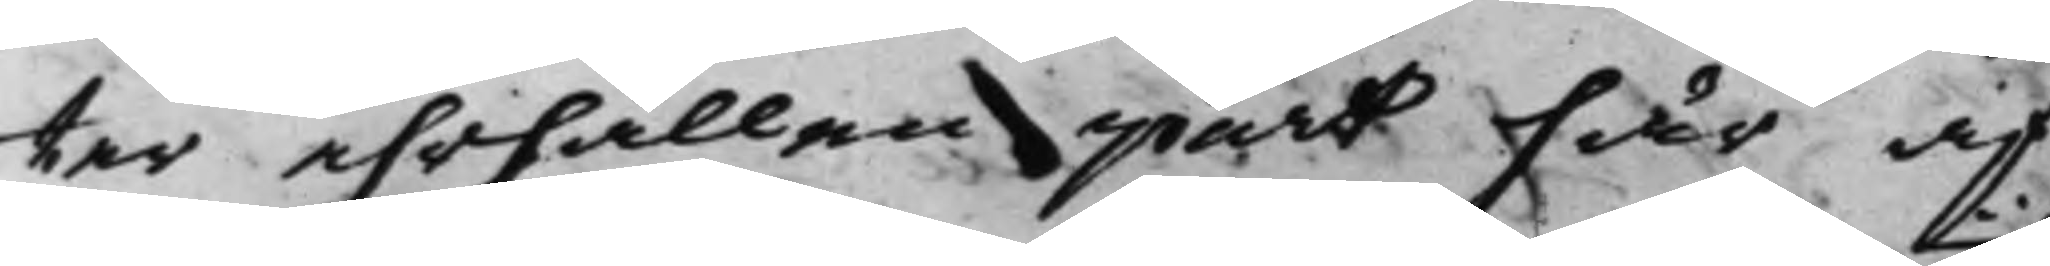ter ehrhållen part här af
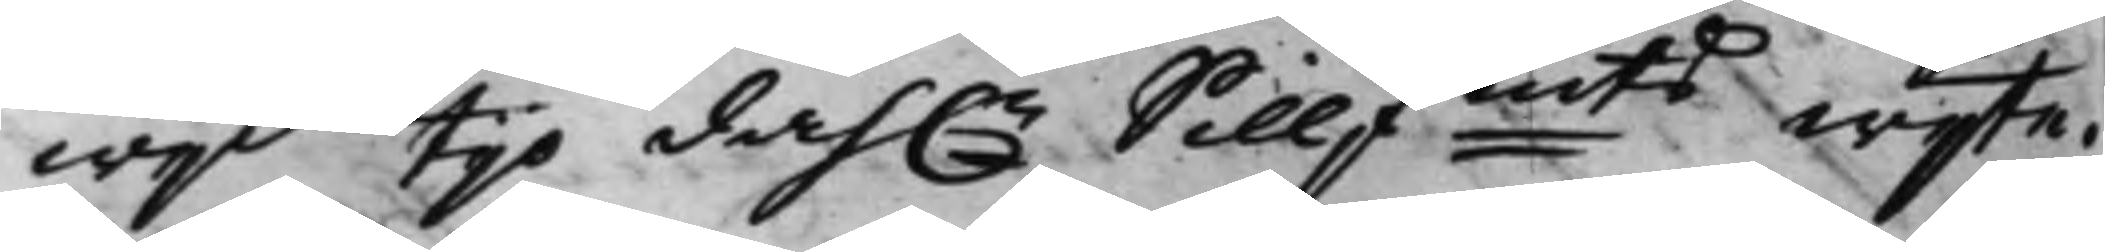wijd tijo dah.r Sillfmts wijte.
